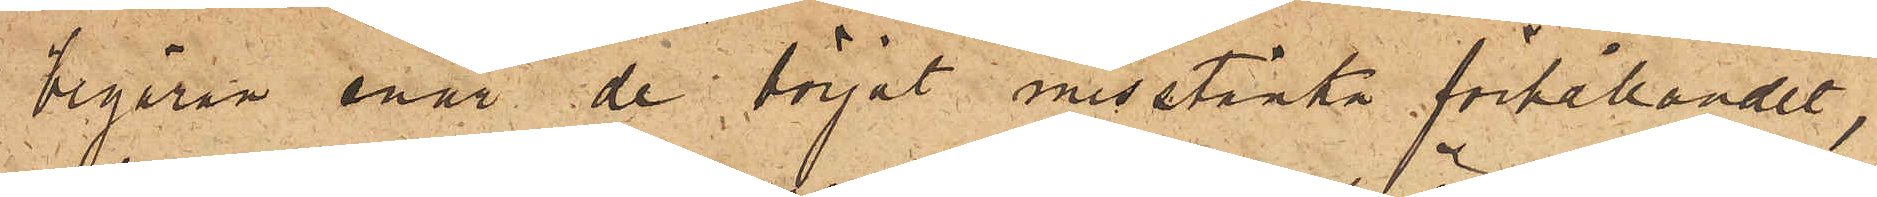begäran enär de börjat misstänka förhållandet,
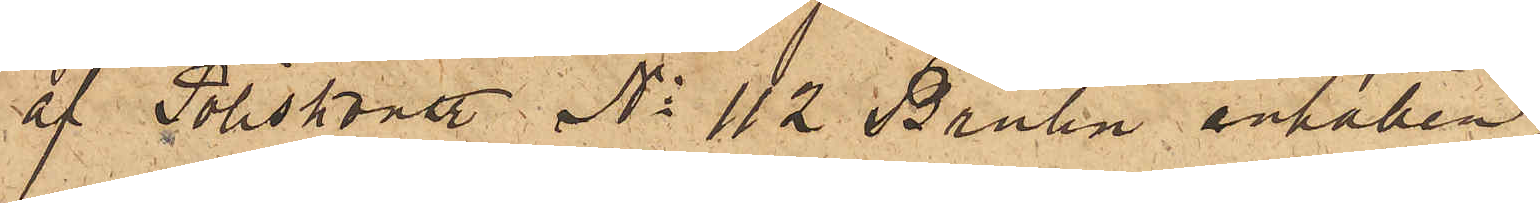af Poliskonst. No 112 Brolin anhållen.
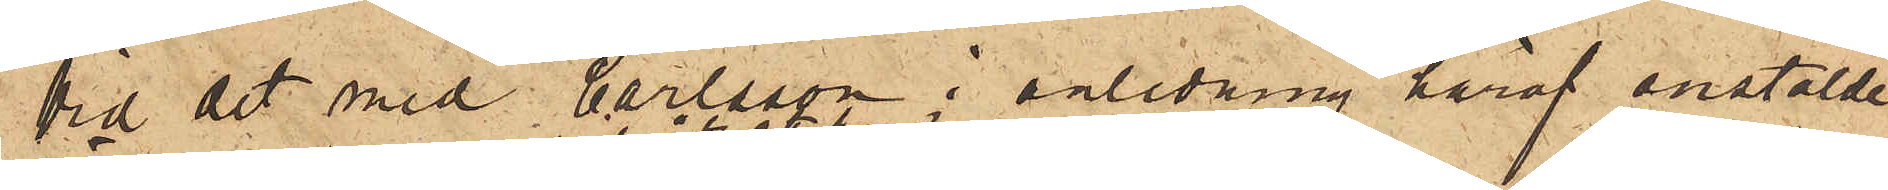Vid det med Carlsson i anledning häraf anstälde
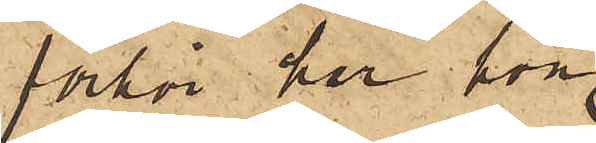förhör har hon
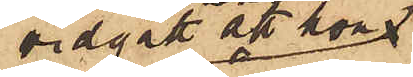vidgått att hon,
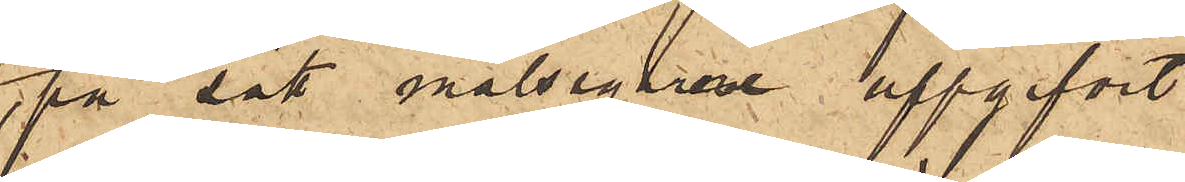på sätt målsegarne uppgifvit,
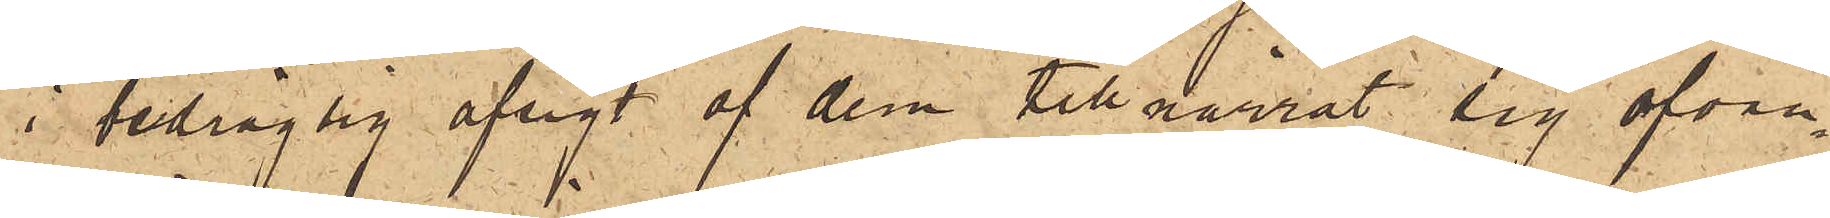i bedräglig afsigt af dem tillnarrat sig ofvan¬
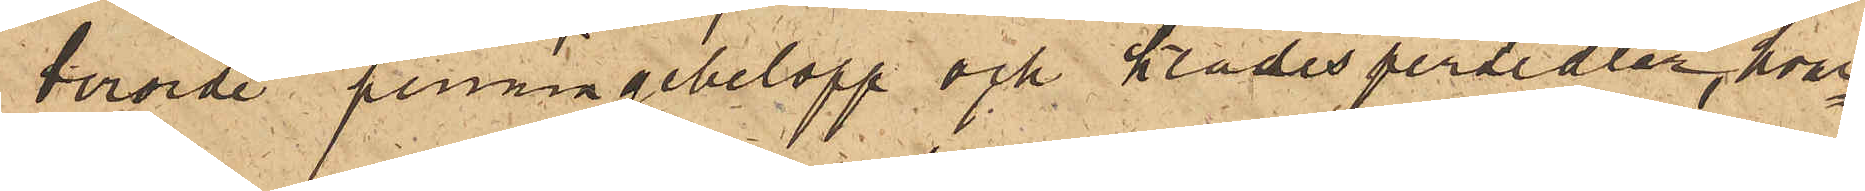berörde penningebelopp och klädespersedlar, hvar¬
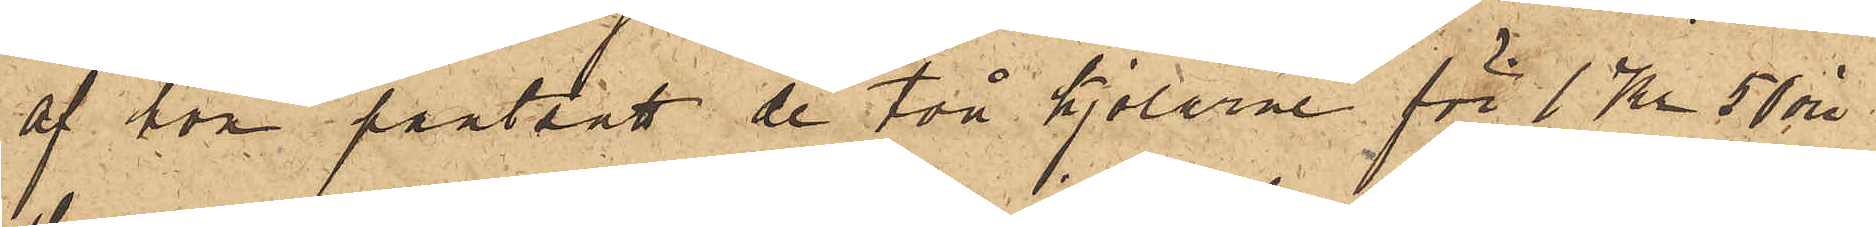af hon pantsatt de två kjolarne för 1 Kr 50 öre
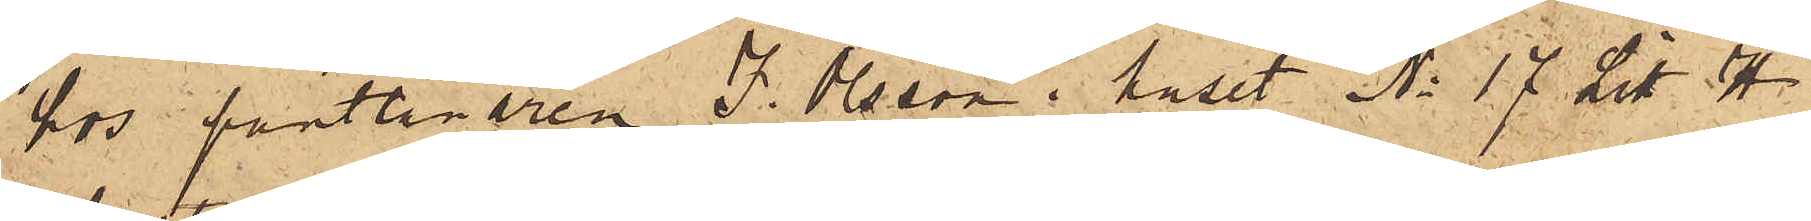hos pantlånaren J. Olsson i huset No 17 Litt. H
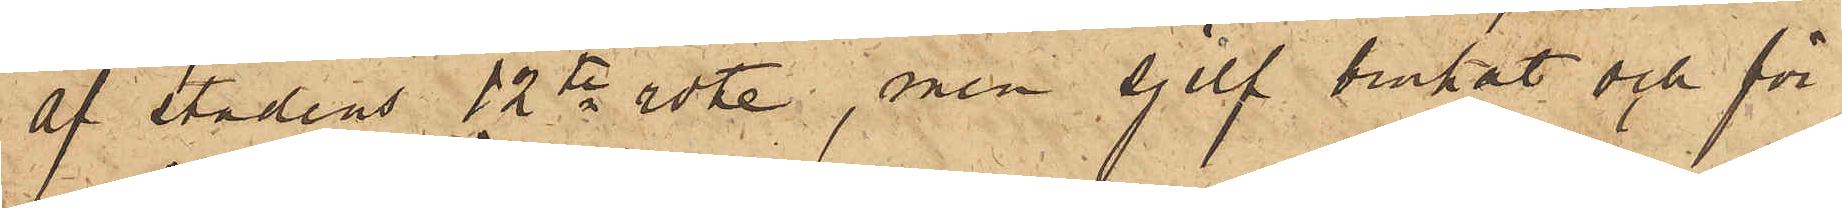af stadens 12te rote, men sjelf brukat och för¬
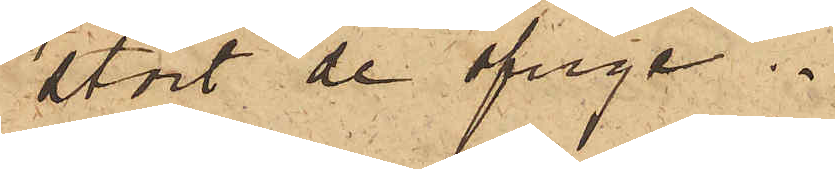stört de öfrige.
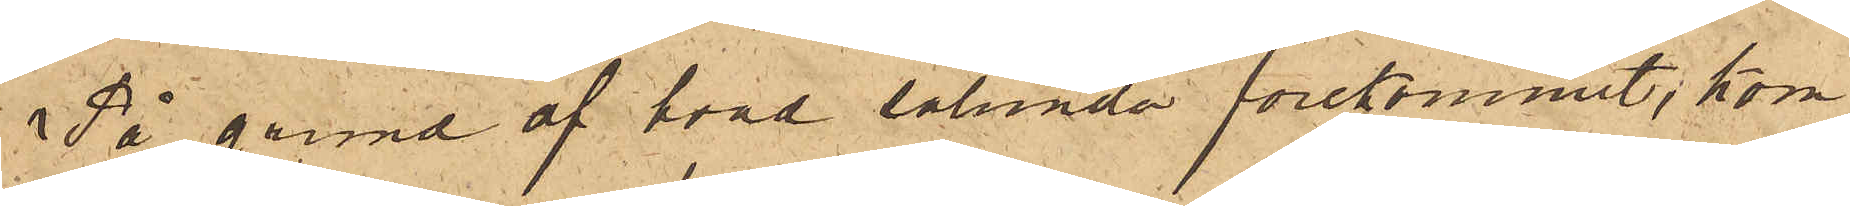På grund af hvad sålunda förekommit, kom¬
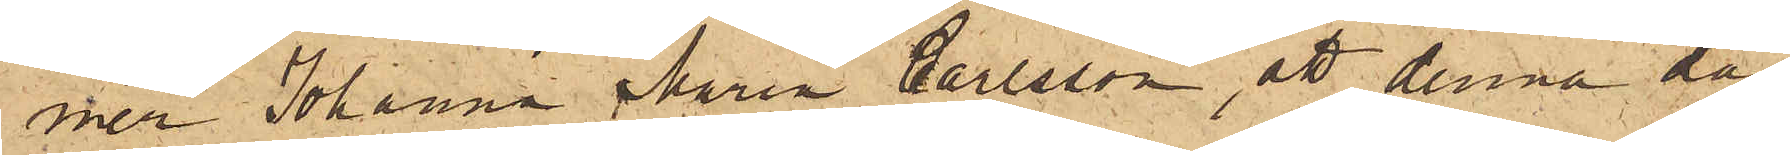mer Johanna Maria Carlsson, att denna dag
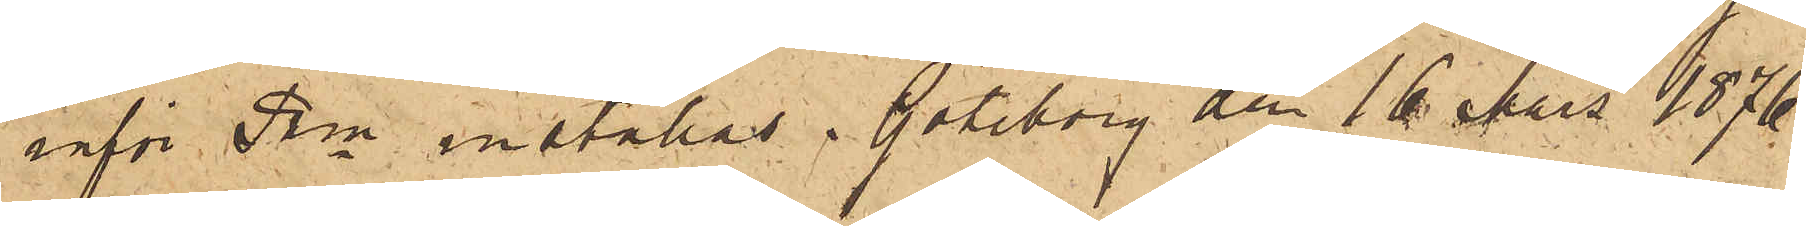inför Pkn inställas. Göteborg den 16 Mars 1876.
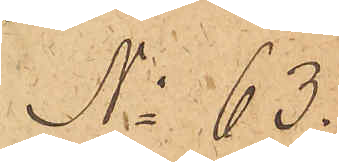No 63.
